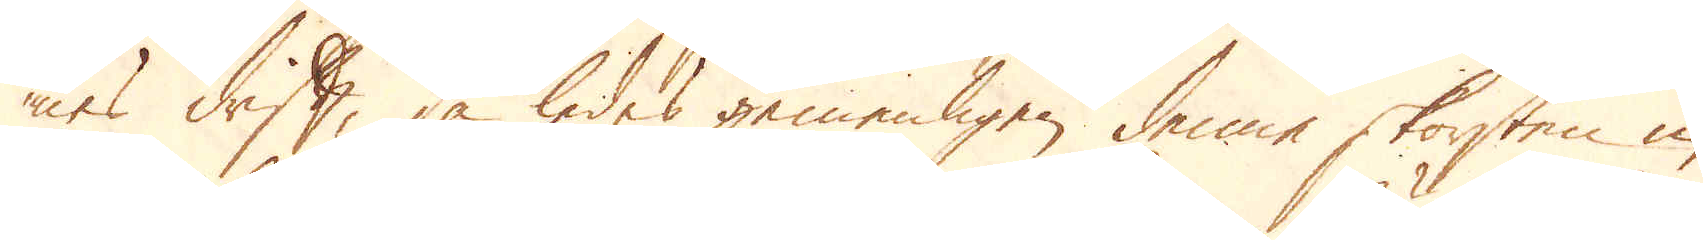nes drift, så ledes gemenligen denne skorsten in
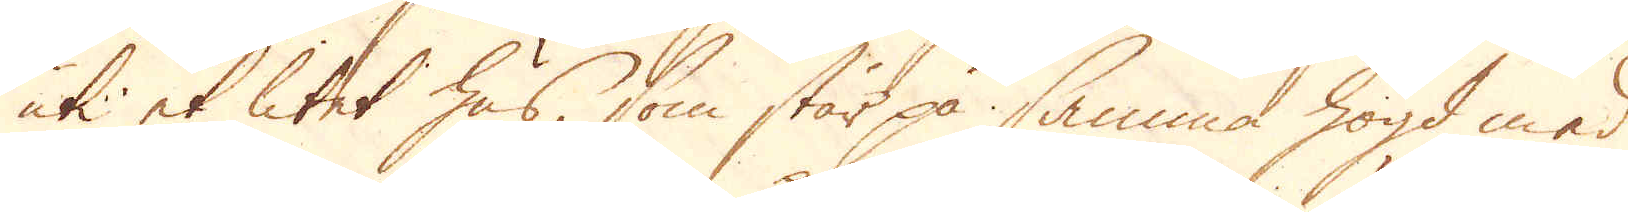uti et litet hus, som står på samma högd med
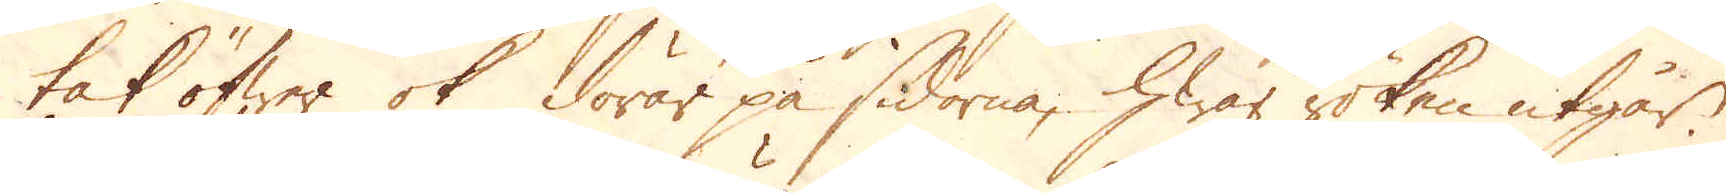tak öfwer ok dörar på sidorne, hwar röken utgår.
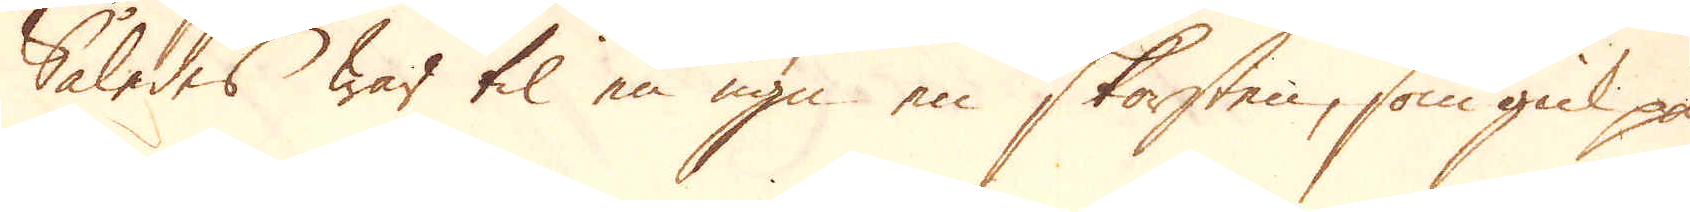Således war til en ugn en skorsten, som gick på
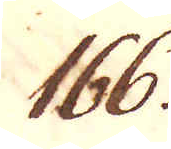166.
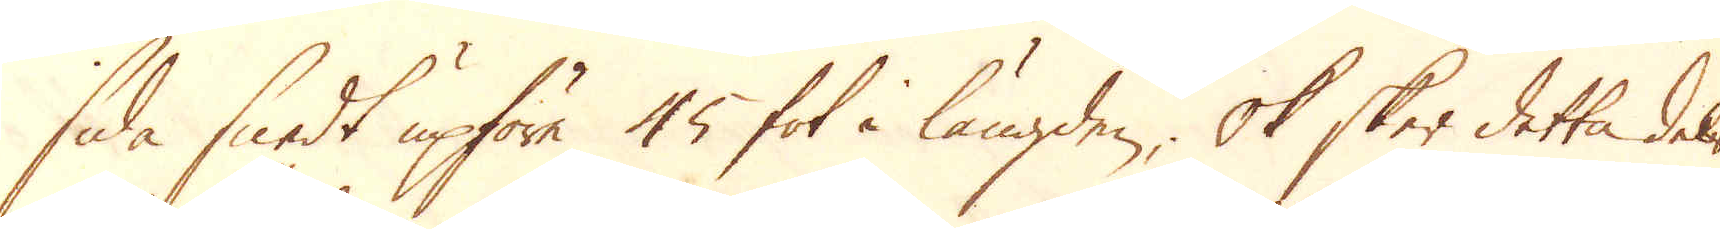sida snedt upföre 45 fot i längden; Ok sker detta dels
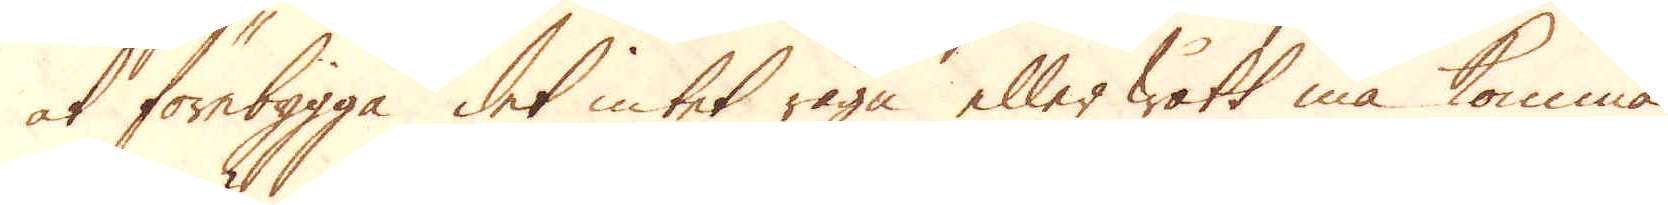at förebygga det intet rägn eller wått må komma
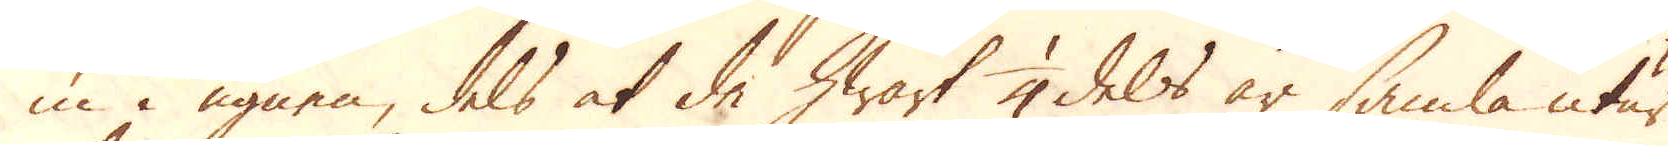in i ugnen, dels at de hwart 1/4 dels år samla utur
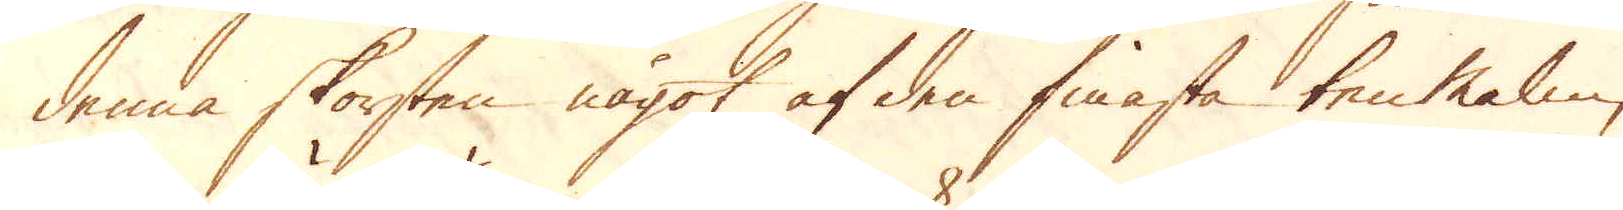denna skorsten något af den finnasta ten Malm,
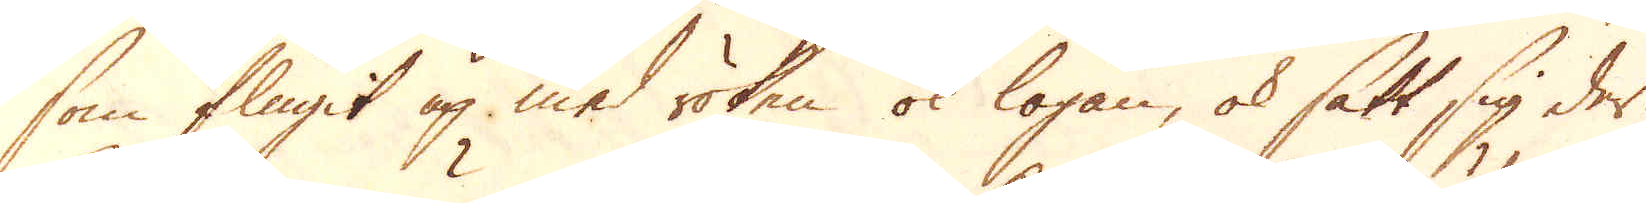som flugit up med röken ok logan, ok sätt sig der.
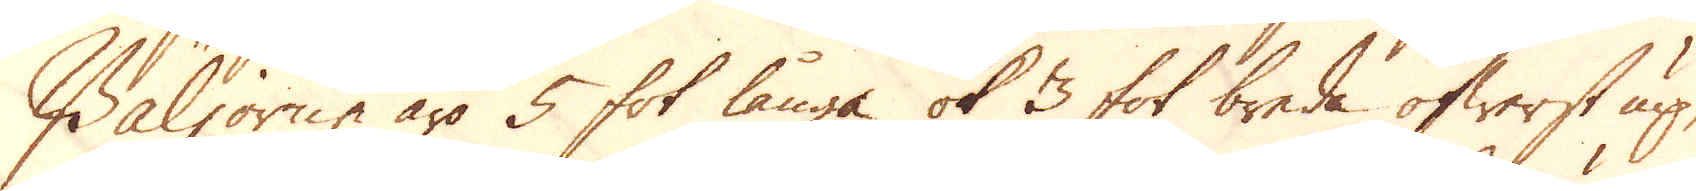Bäljorne äro 5 fot långa ok 3 fot breda öfwerst up,
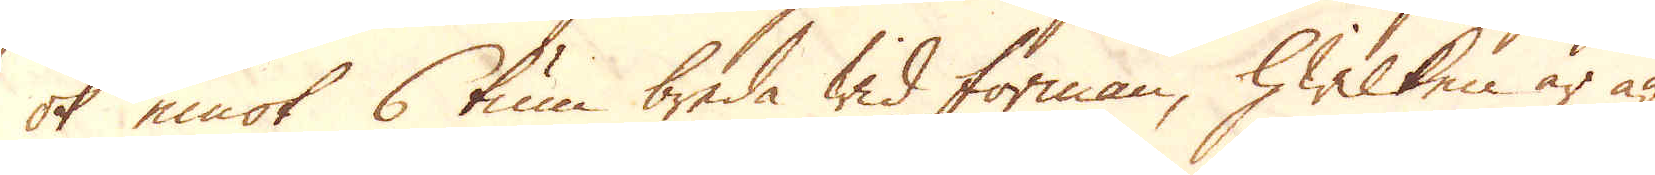ok emot 6 tum breda wid forman, hwilken är äf
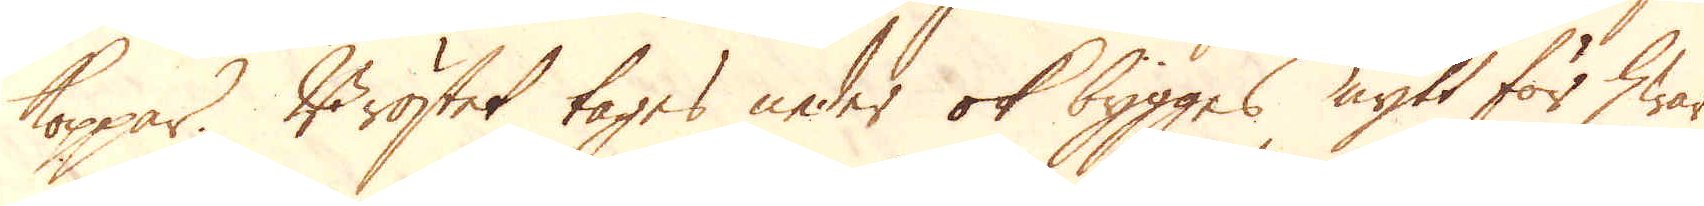koppar. Bröstet tages neder ok bygges nytt för hwar
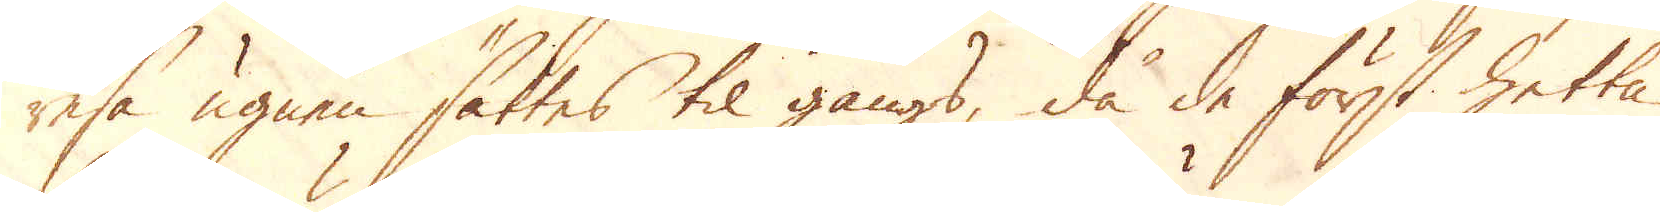resa ugnen sättes til gångs, då de först hetta
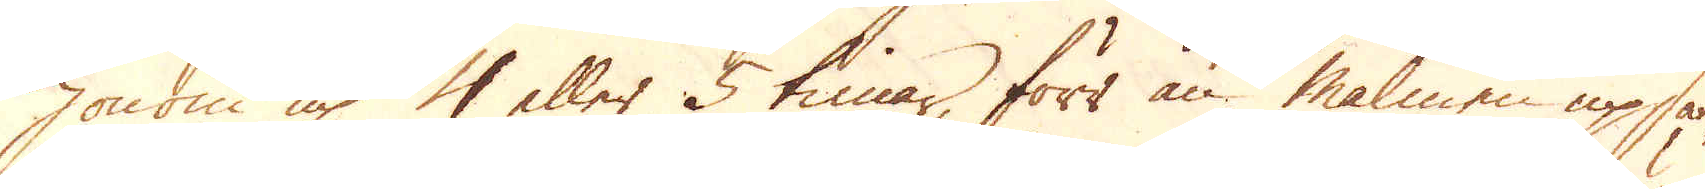honom up 4 eller 5 timar, förr än malmen upsän-
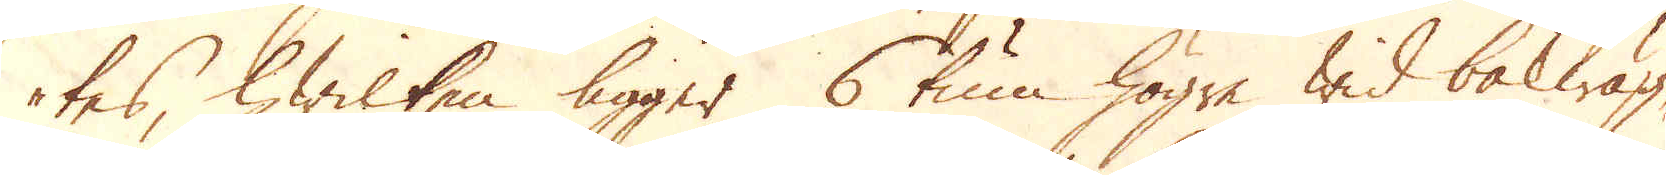tes, hwilken ligger 6 tum högre wid bakwäg-
